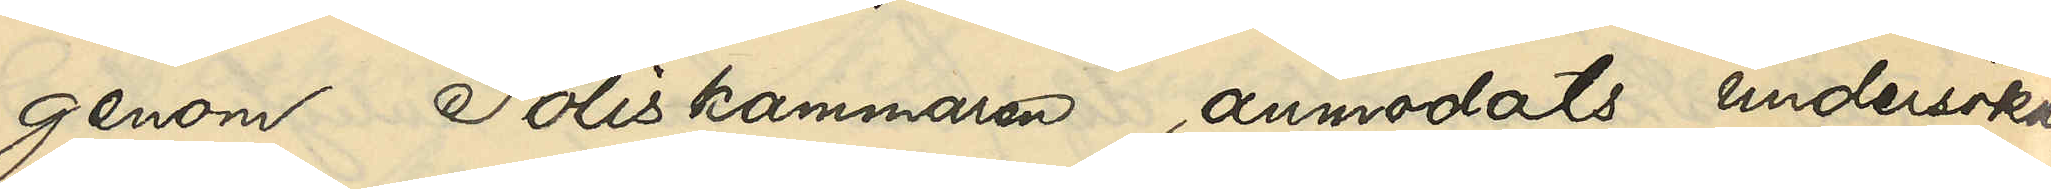genom Poliskammaren, anmodats undersöka,
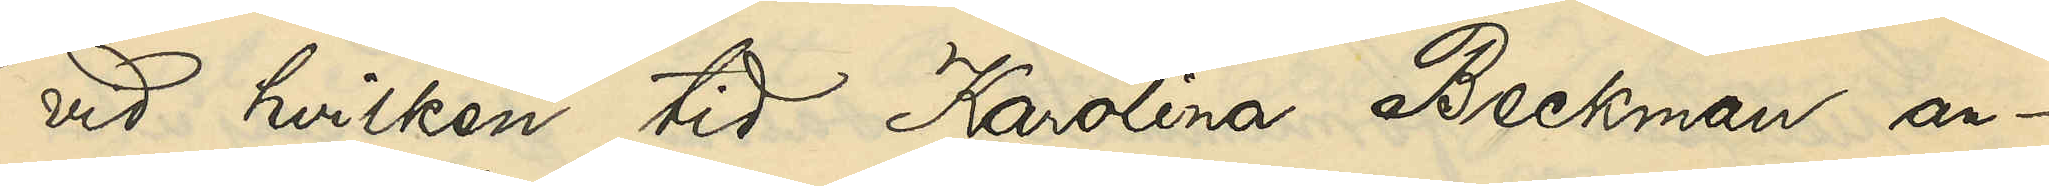vid hvilken tid Karolina Beckman an¬
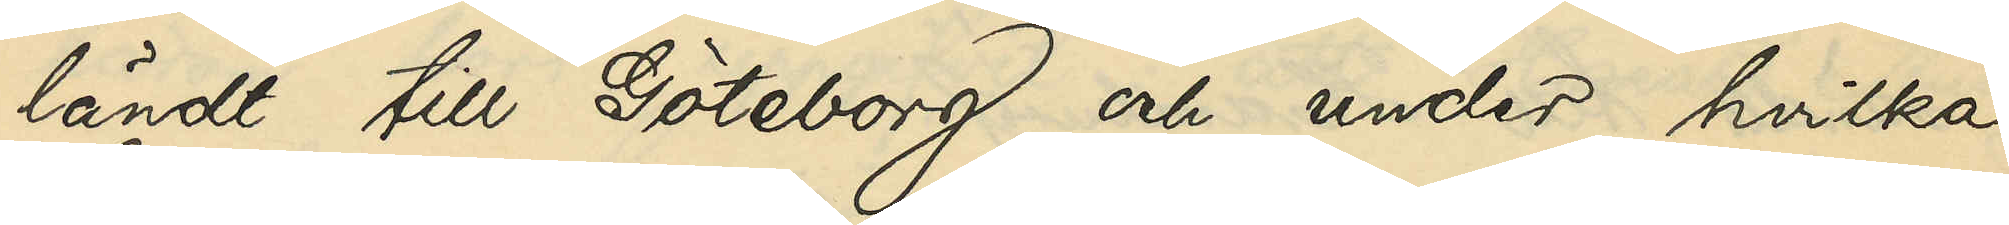ländt till Göteborg och under hvilka
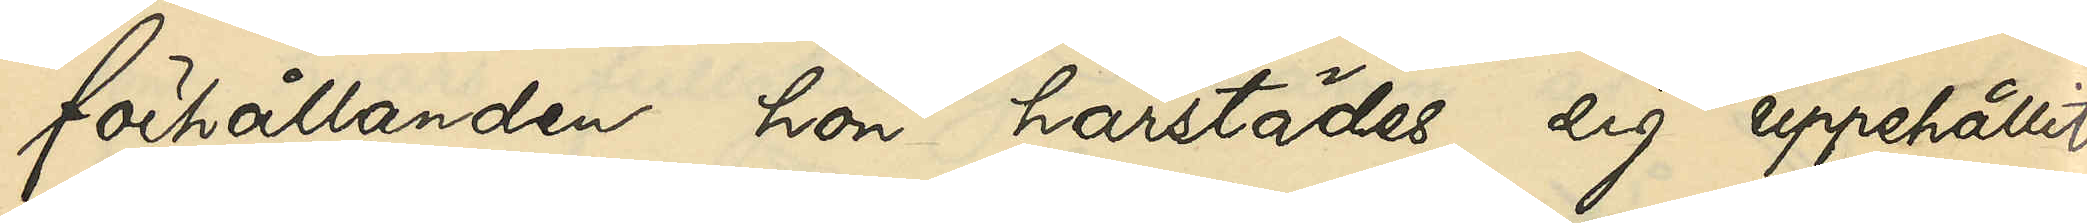förhållanden hon härstädes sig uppehållit,
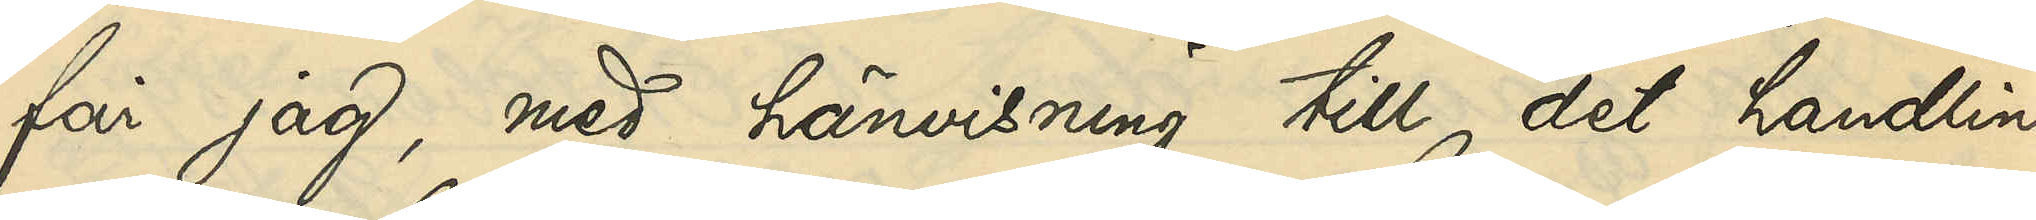får jag, med hänvisning till det handlin¬
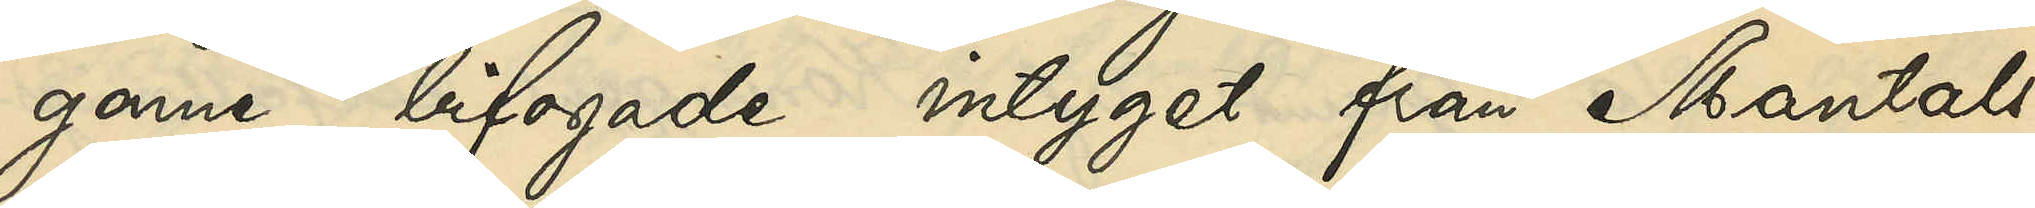garne bifogade intyget från Mantals¬
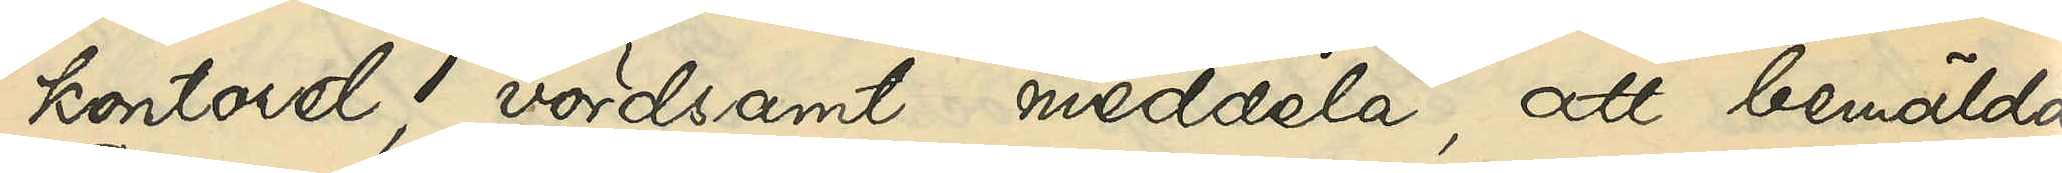kontoret, vördsamt meddela, att bemälda
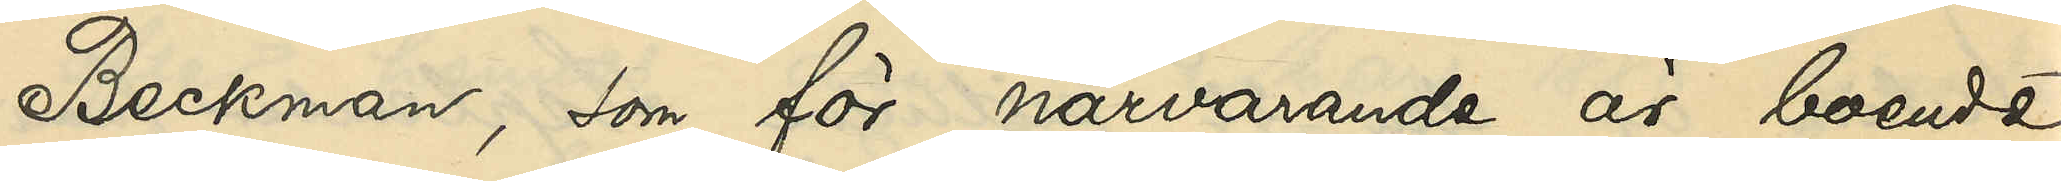Beckman, som för närvarande är boende
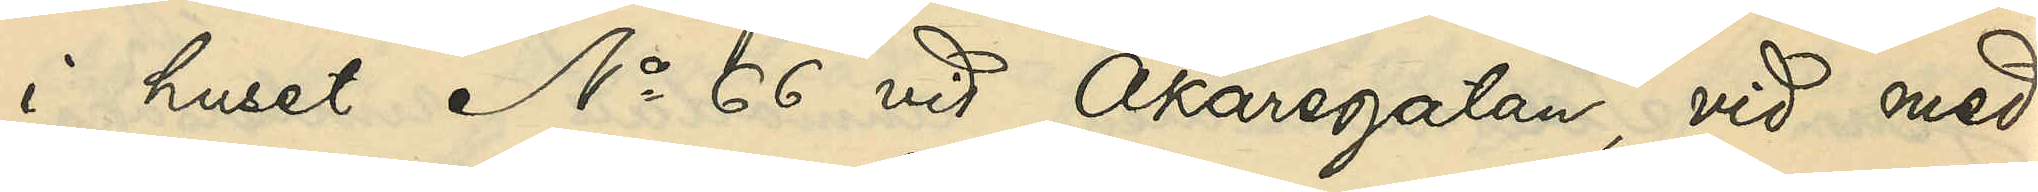i huset No 66 vid Åkaregatan, vid med
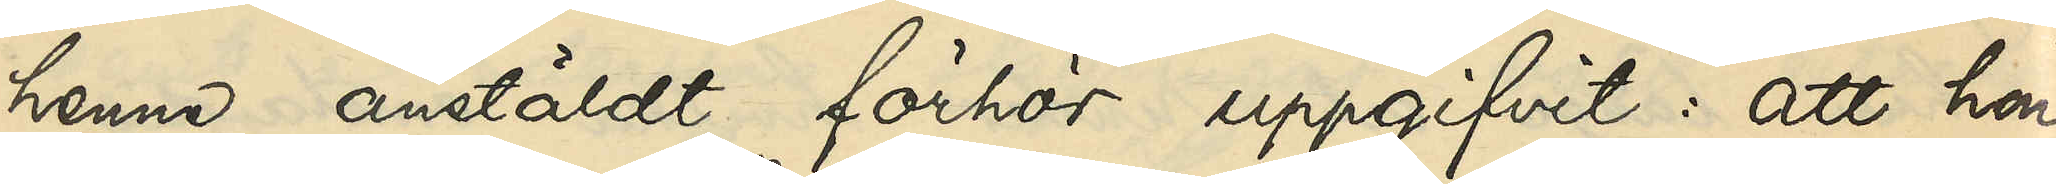henne anstäldt förhör uppgifvit: att hon,
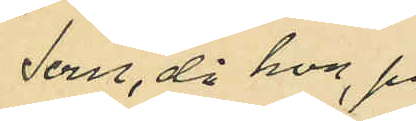som, då hon, på
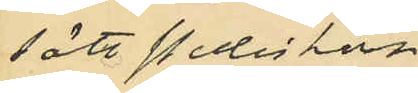sätt Poliskom¬
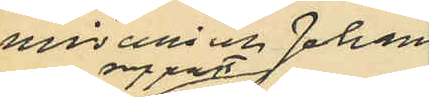missarie Johans¬
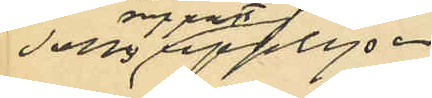sons rapport upplyser
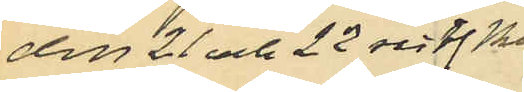den 21 och 22 sistl Maj
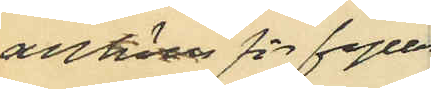anhölls för fylleri
